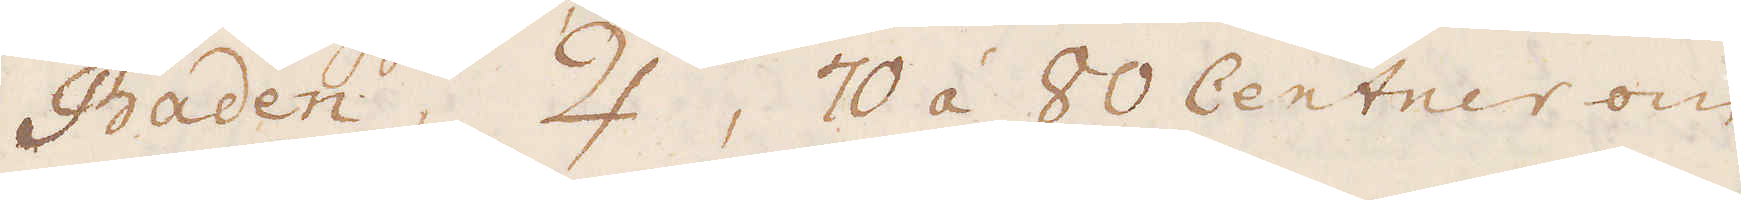Baden, ♃, 70 á 80 Centner om
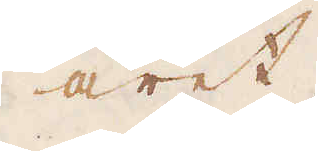året.
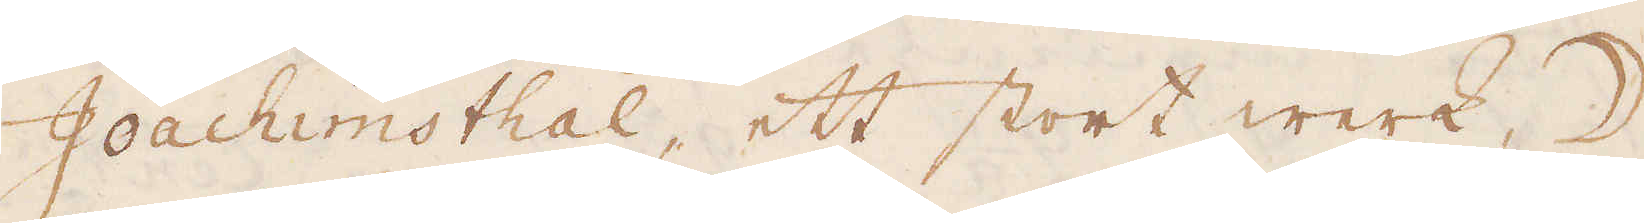Joachimsthal, ett stort werk, ☽.
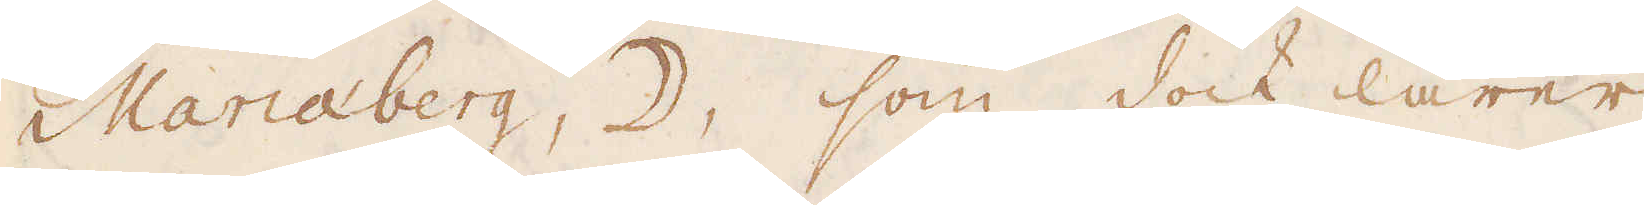Mariaberg, ☽, som dock lärer
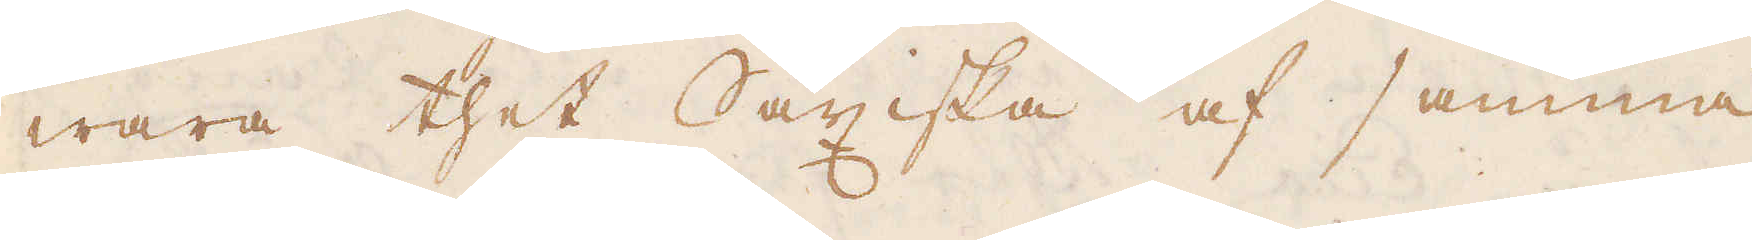wara thet Saxiska af samma
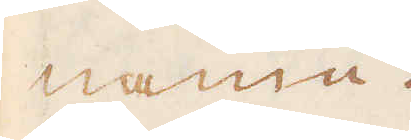namn.
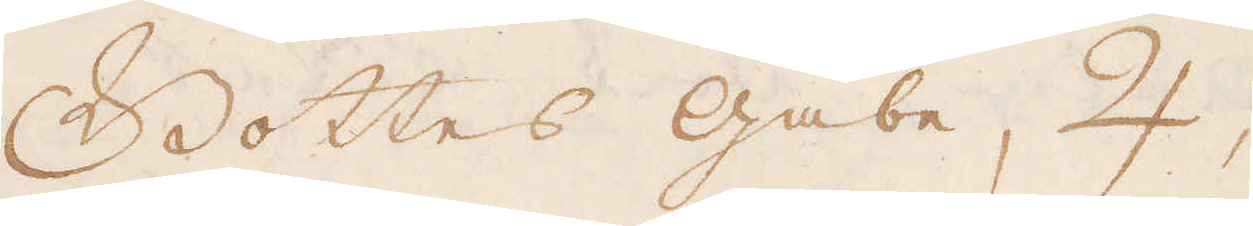Gottes Gabe, ♃,
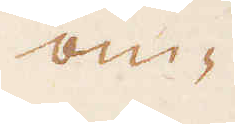om-
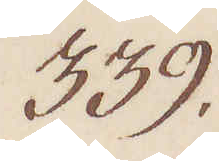339.
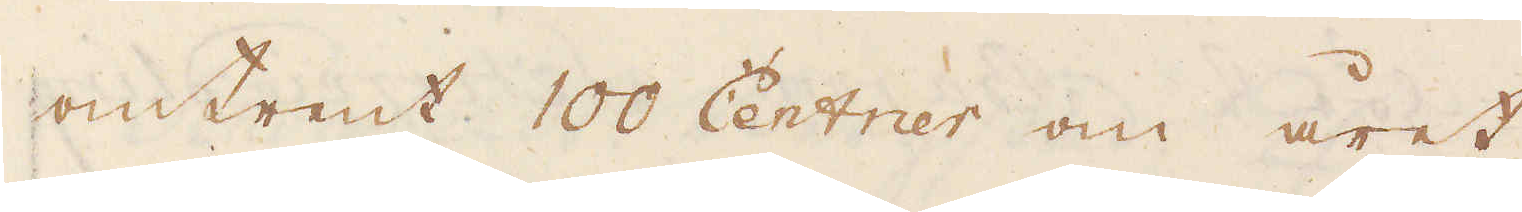omtrent 100 Centner om året
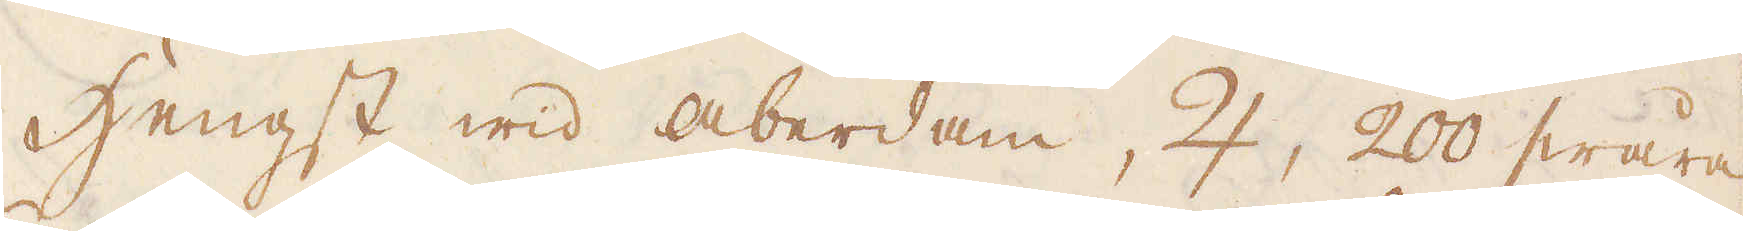Hengst wid Aberdam, ♃, 200 swåra
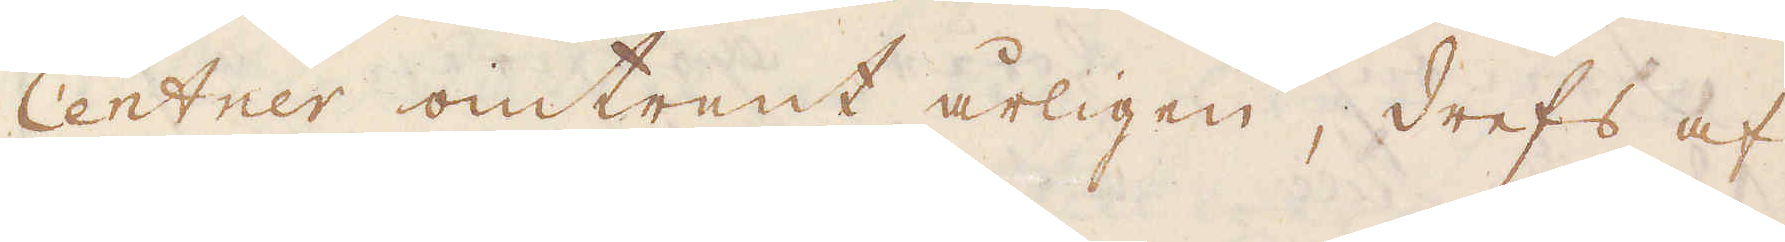Centrer omtrent årligen, drefs af
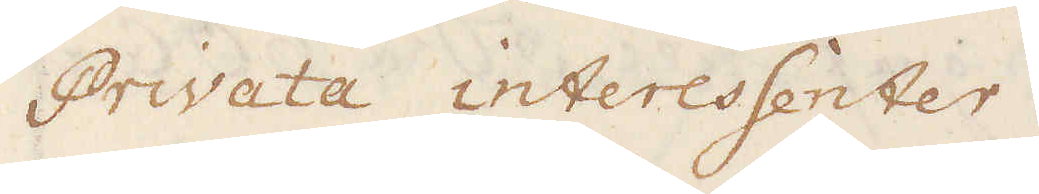Privata interessenter.
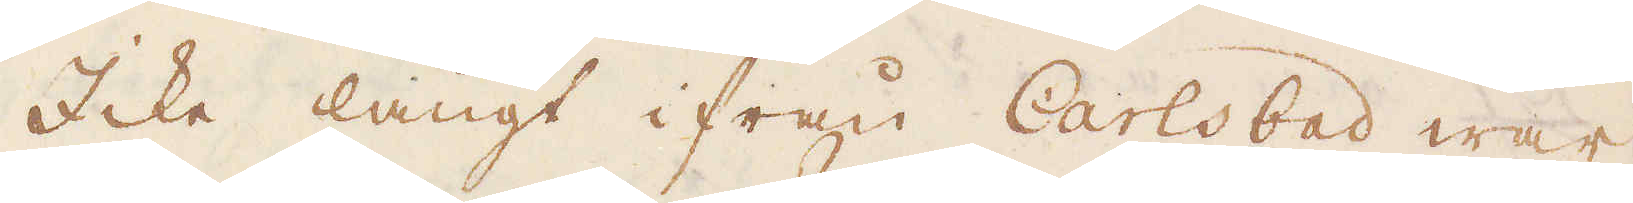Icke långt ifrån Carlsbad war
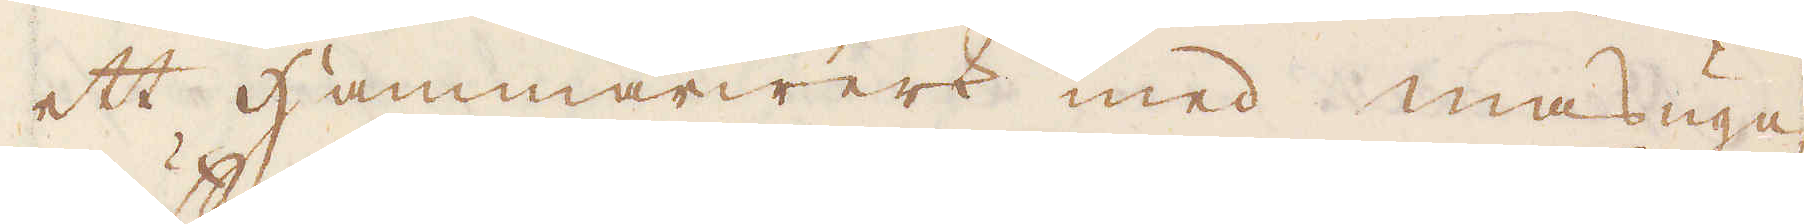ett Hammarwerk med masugn,
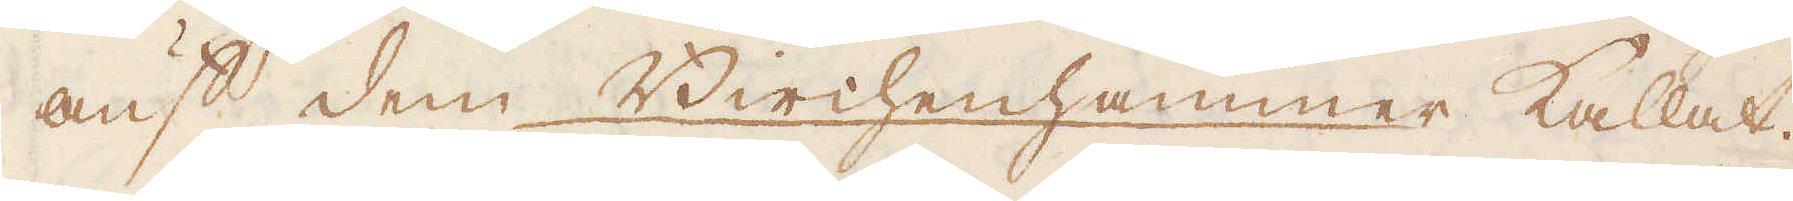auf dem Birchenhammer kallat.
